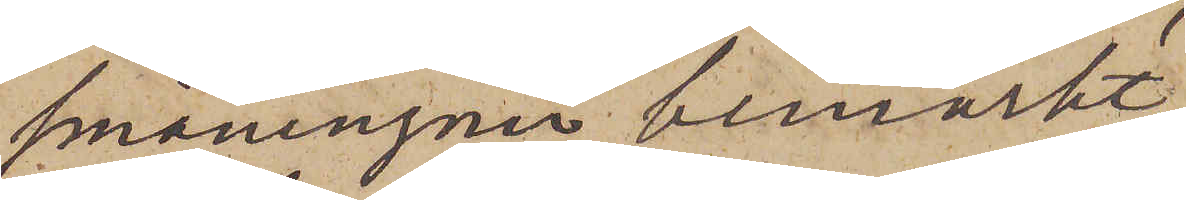småningom bemärkt,
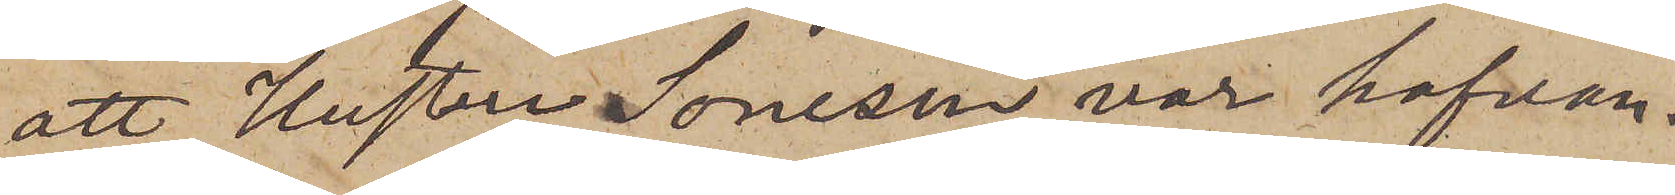att Hustru Soneson var hafvan¬
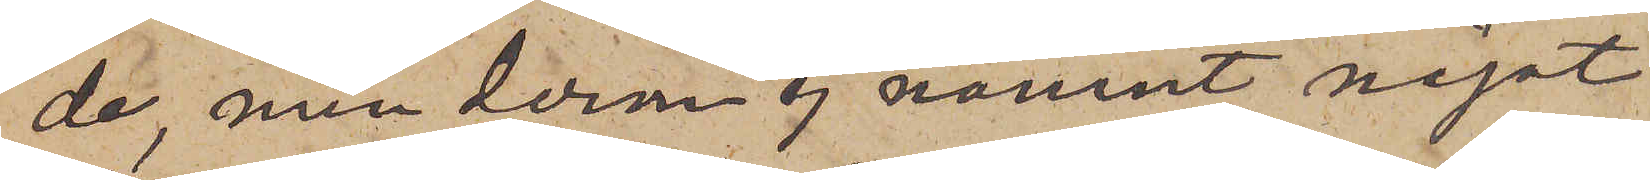de, men derom ej nämnt något
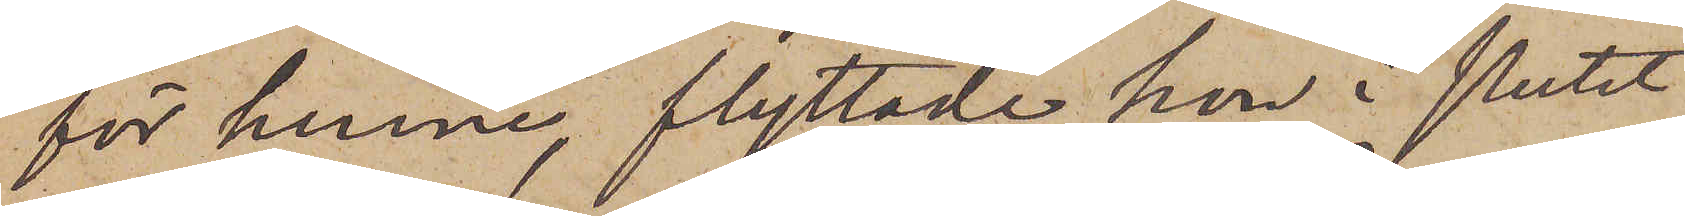för henne, flyttade hon i slutet
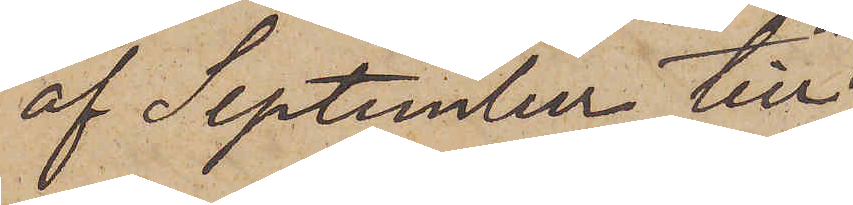af September till
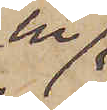en
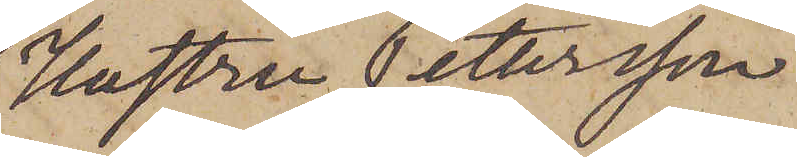Hustru Pettersson
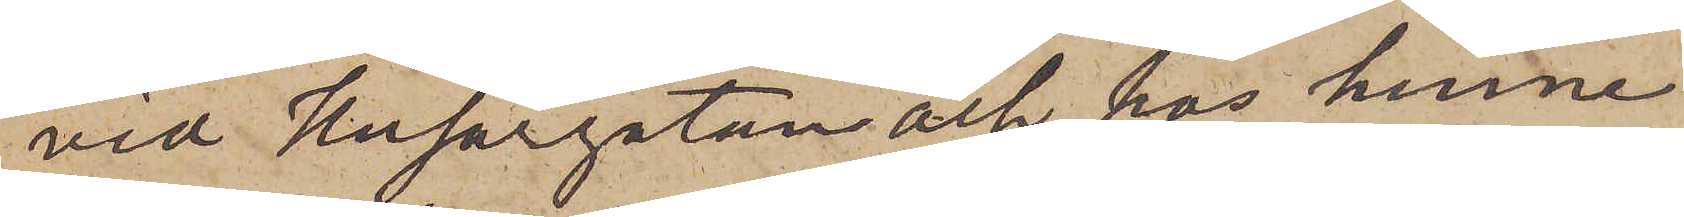vid Husargatan och hos henne
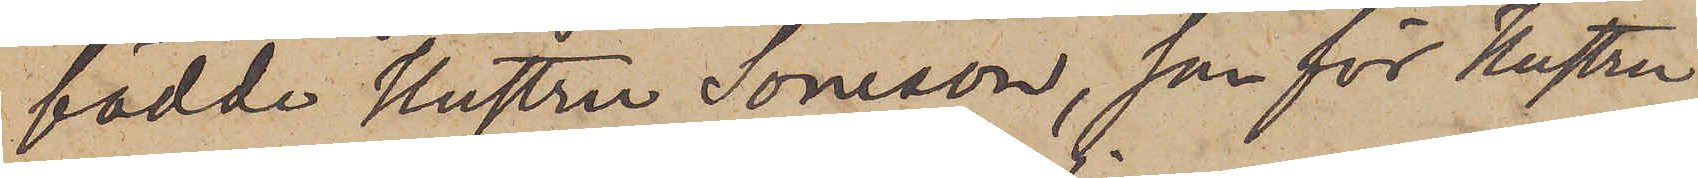födde Hustru Soneson, som för Hustru
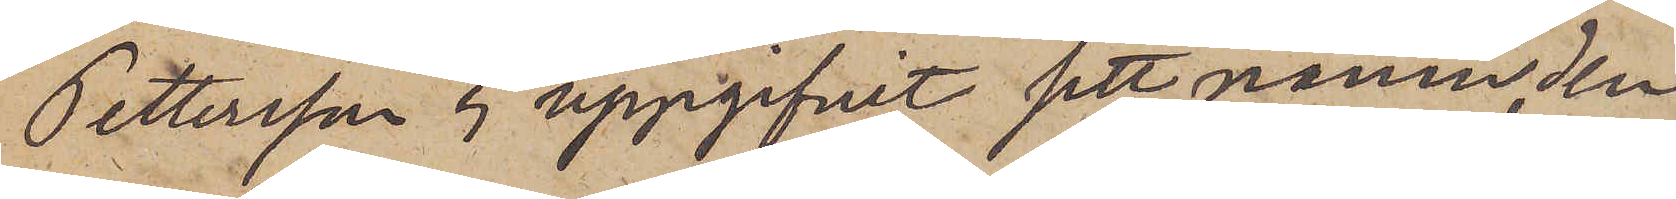Pettersson ej uppgifvit sitt namn, den
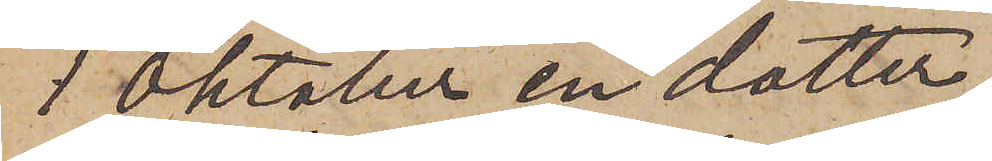1 Oktober en dotter.
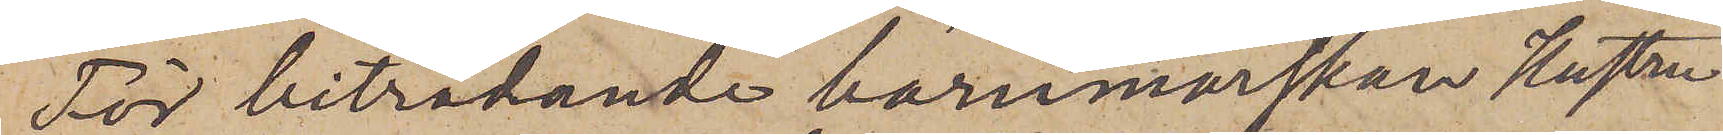För biträdande barnmorskan Hustru
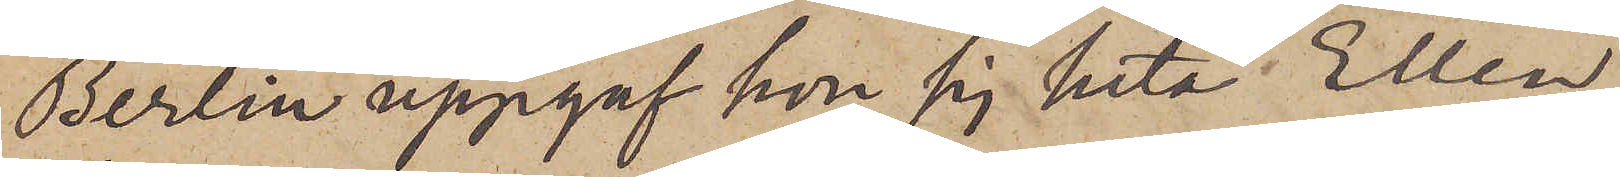Berlin uppgaf hon sig heta Ellen
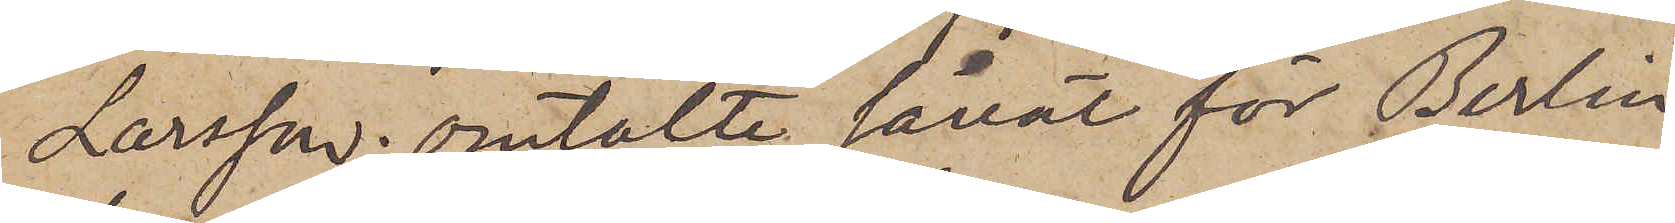Larsson; omtalte såväl för Berlin
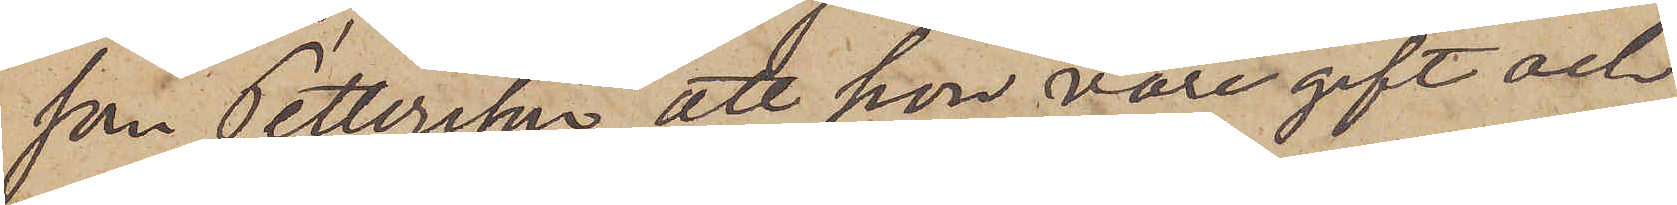som Pettersson, att hon vore gift och
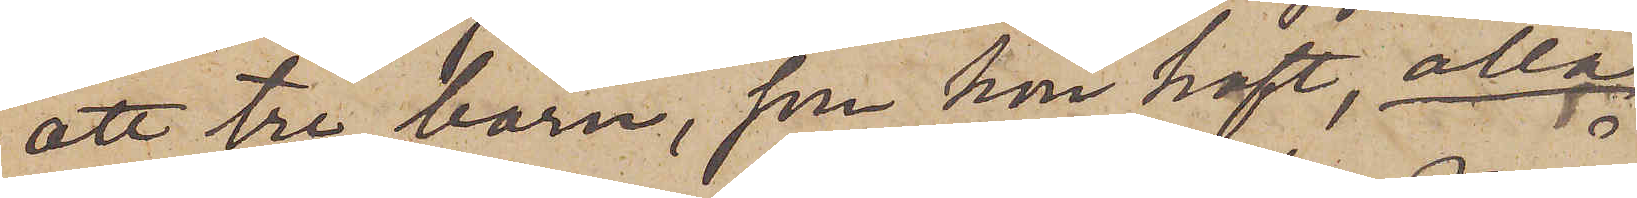att tre barn, som hon haft, alla
